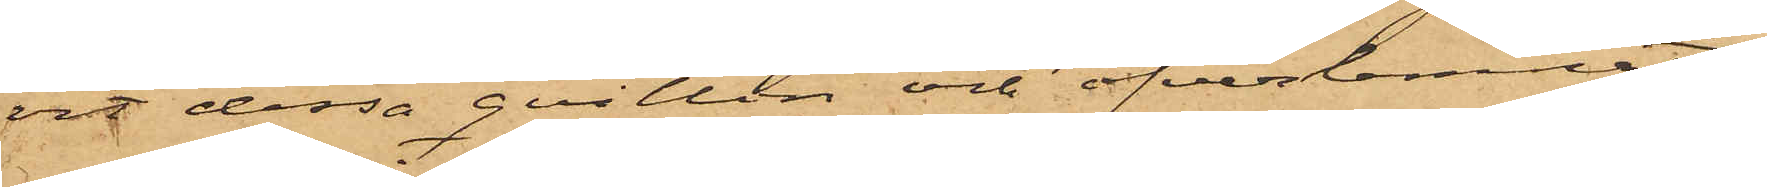vit dessa qvitton och öfverlemnat
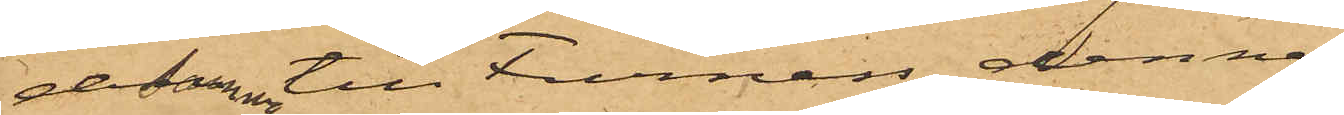desamma till Furness, denne
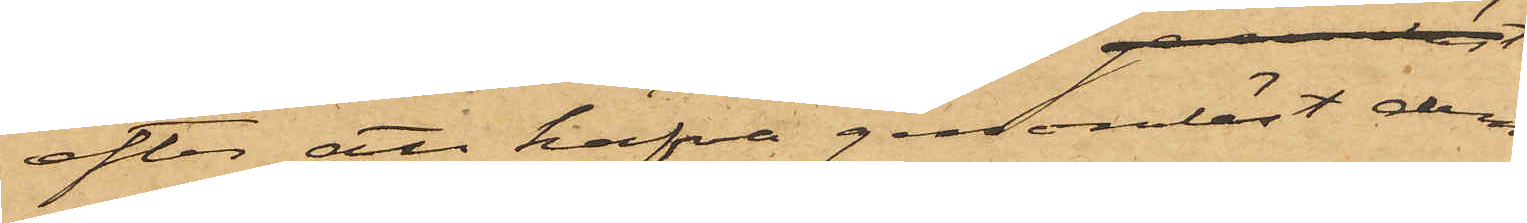efter att hafva genomläst dem,
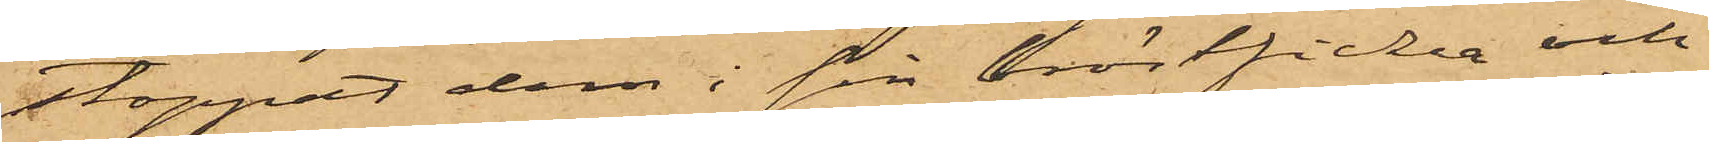stoppat dem i sin bröstficka och
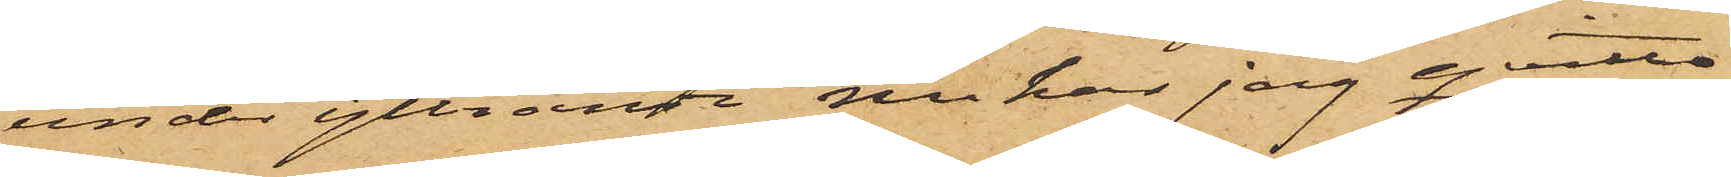under yttrande "nu har jag qvitto
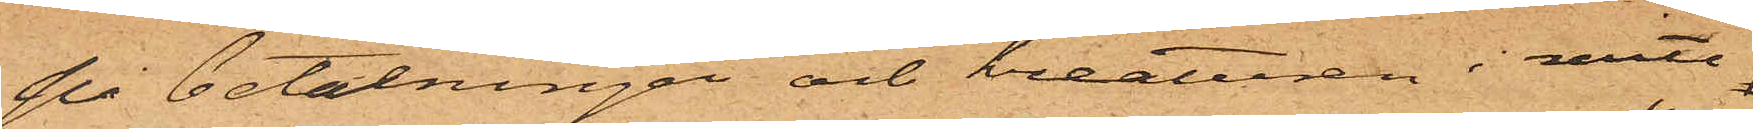på betalningar och kreaturen i mitt
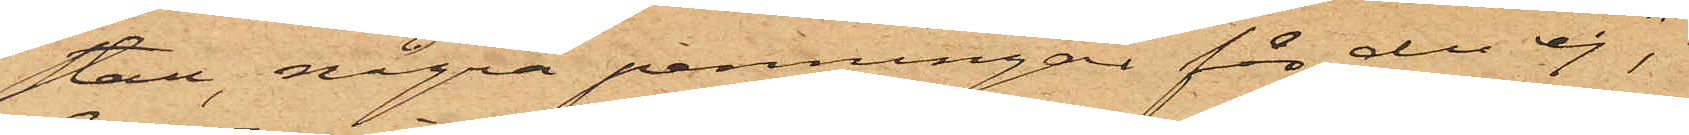stall, några penningar får du ej",
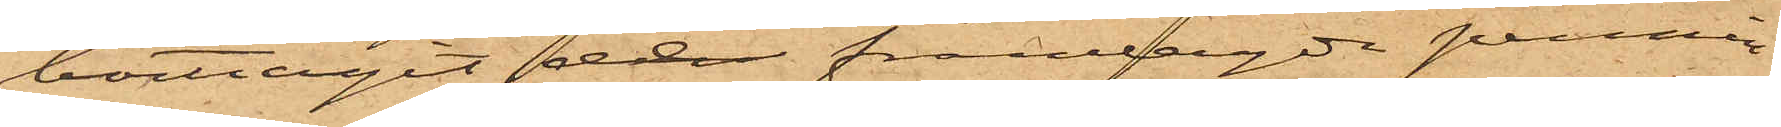borttagit de framlagda pennin¬
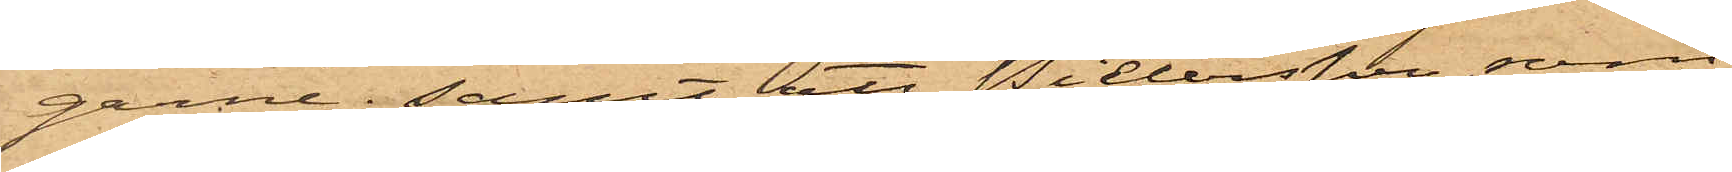garne; samt att Pietersen, som
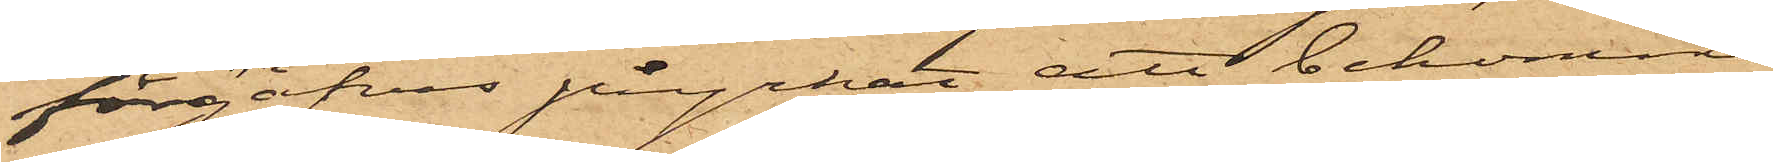förgäfves påyrkat att bekomma
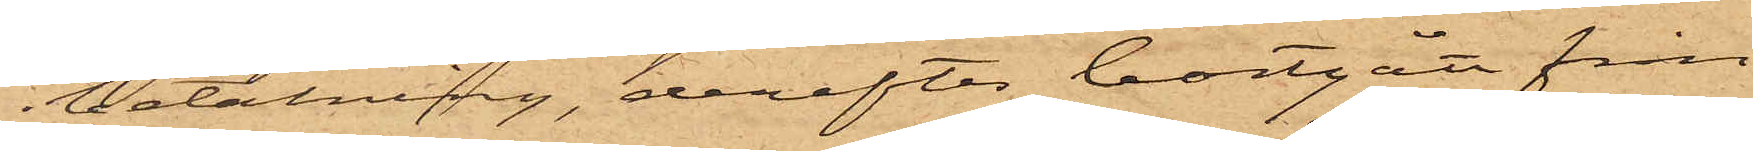betalning, derefter bortgått från
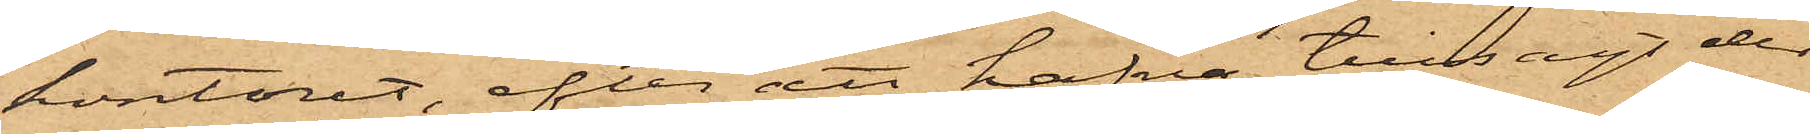kontoret, efter att hafva tillsagt den
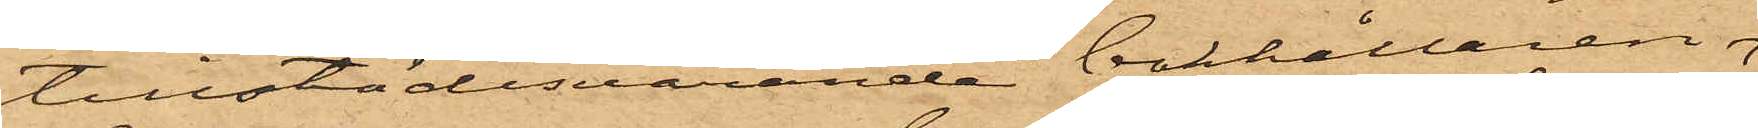tillstädesvarande bokhållaren
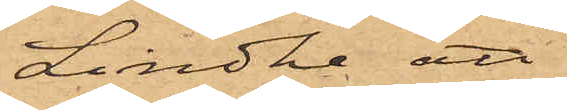Lindhe att
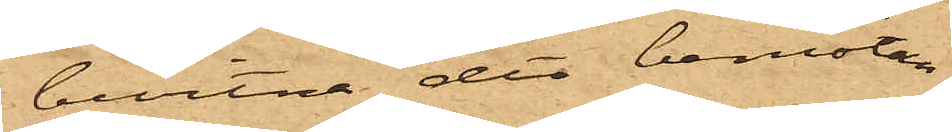bevitna det bemötan¬
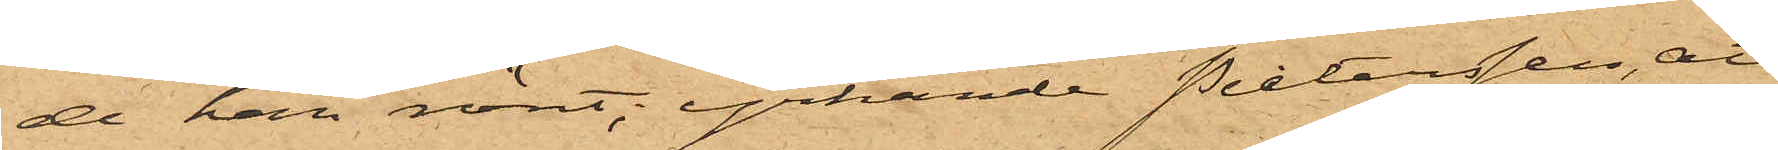de han mött, yrkande Pietersen, att
